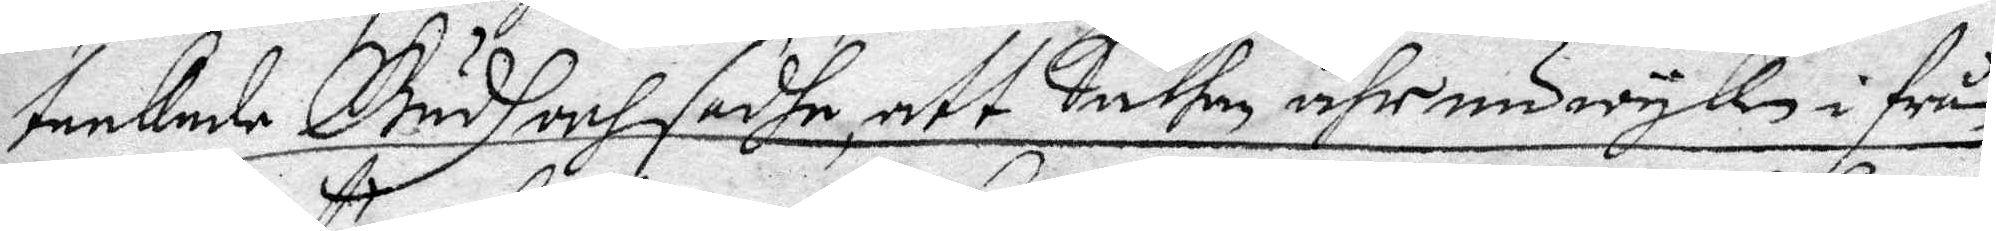tackade Gudh och sadhe, att Sathan ähr nu wyke i från
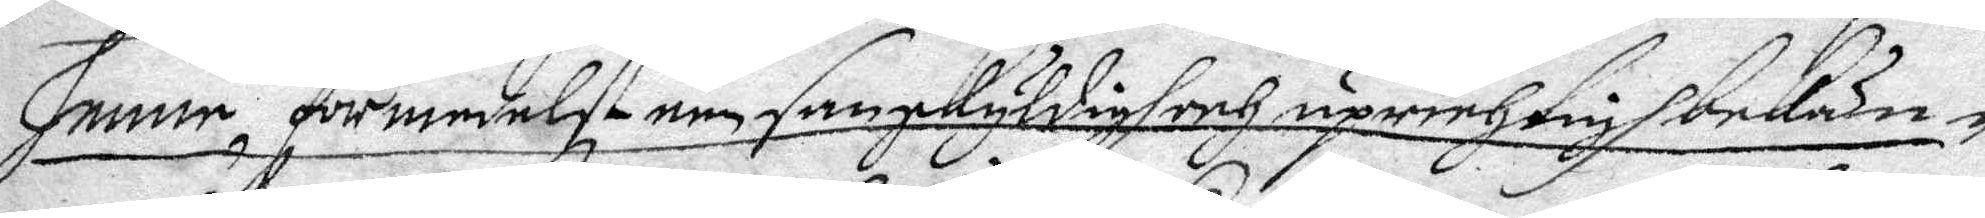henne, förmedelst een sanskyldigh och uprichtigh bekän¬
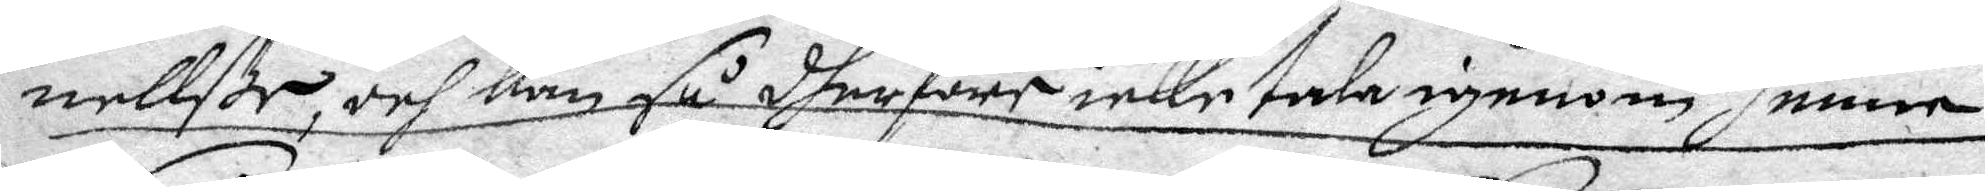nellße, och kam så dherföre icke tala igenom henne.
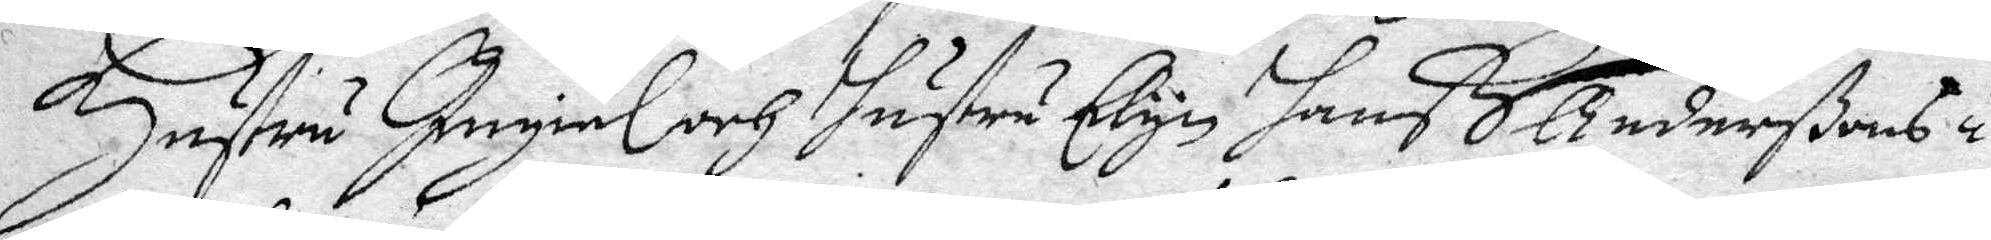Hsutru Ingiäl och hustru Elyn hanß Anderßons i
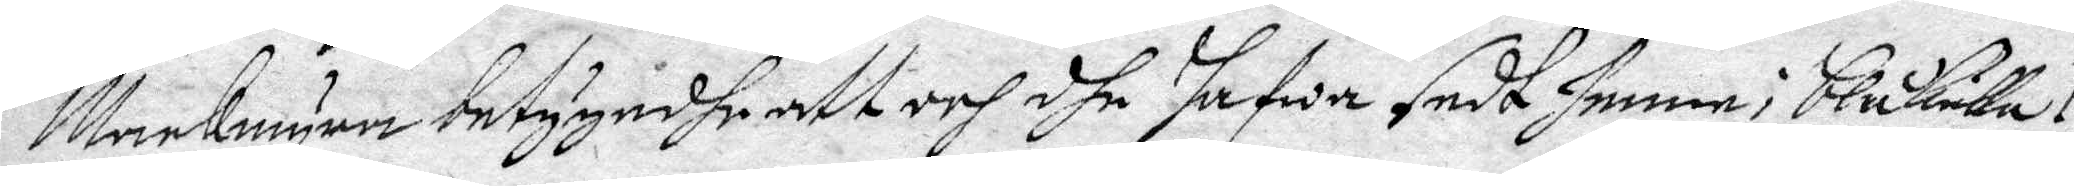Mackmyra betygadhe att och dhe hafwa sedt henne i blåkulla.
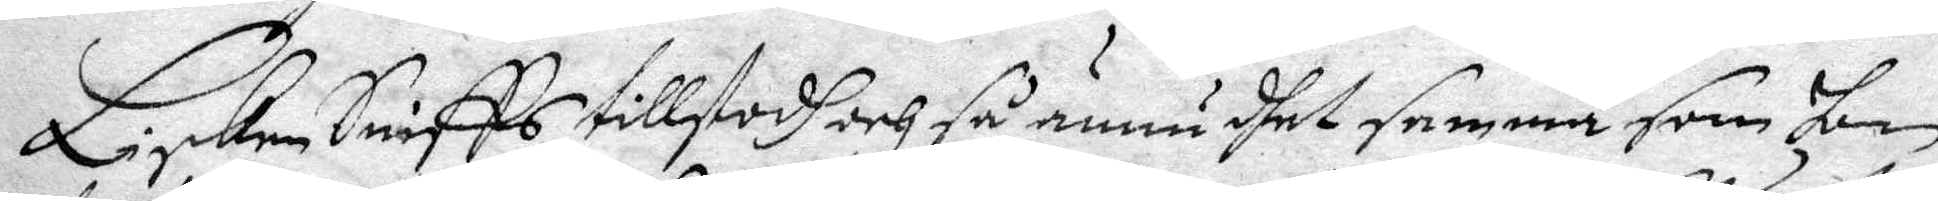Lisken Sniffs tillstodh och så ännu dhet samma som hon
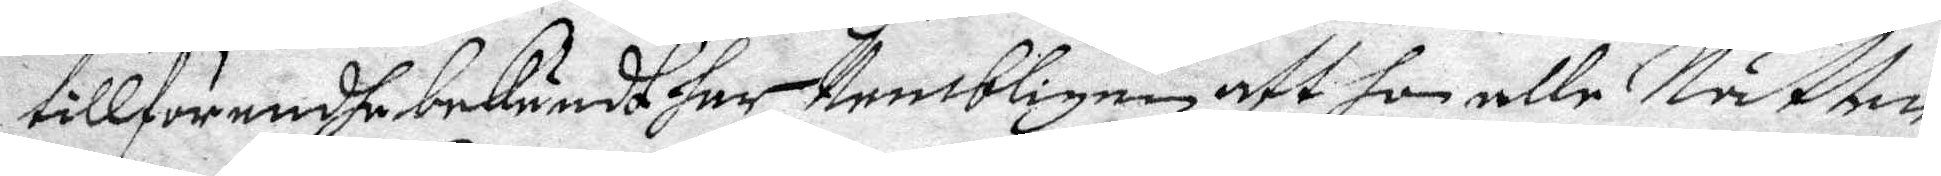tillförendhe bekändt har, Nembligen att hon alle Nätter
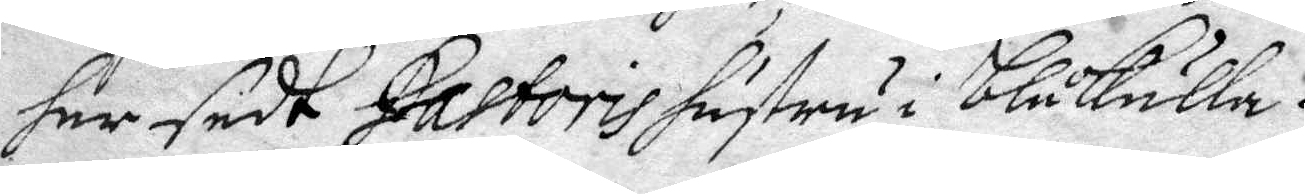har sedt Pastoris hustru i blåkulla.
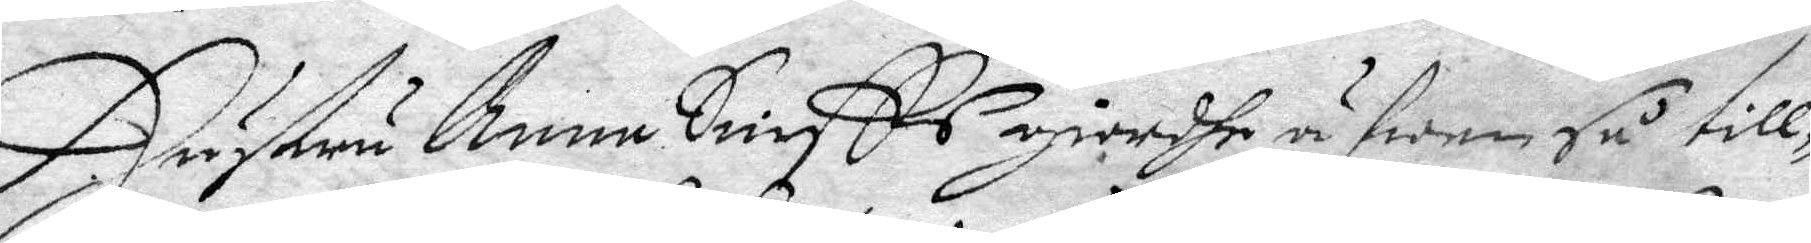Hustru Anna Sniffs giordhe äfwen så till¬
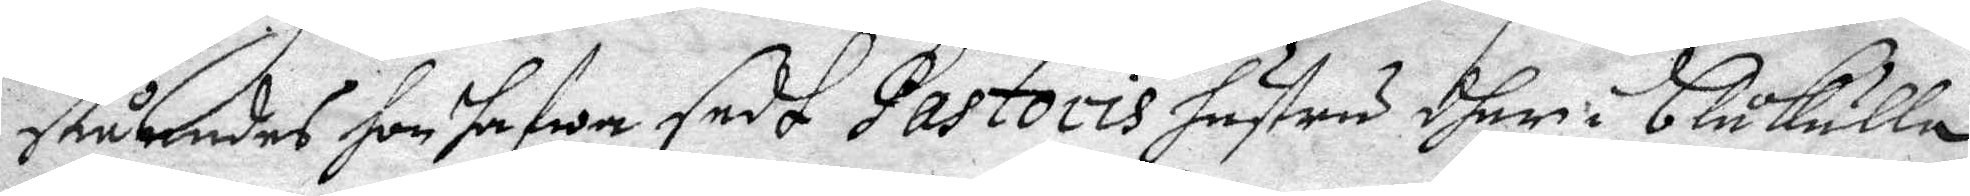ståendes hon hafwa sedt Pastoris hustru dher i blåkulla
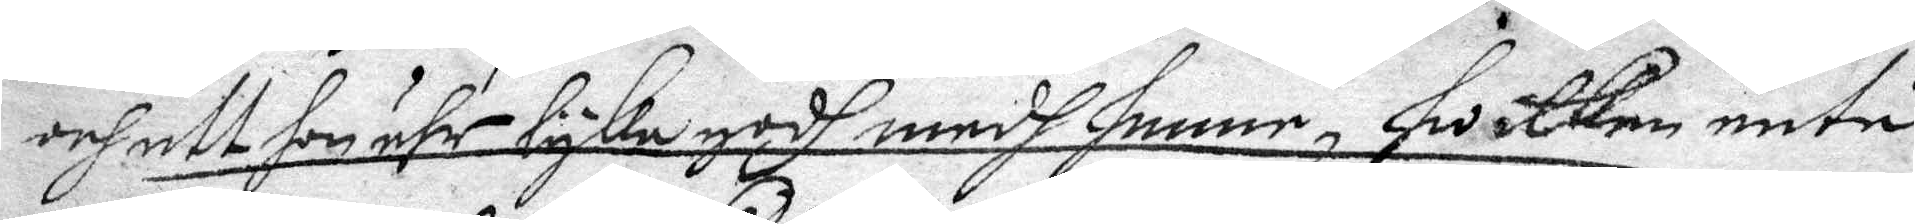och att hon ähr lyka godh medh henne, hwilken äntå
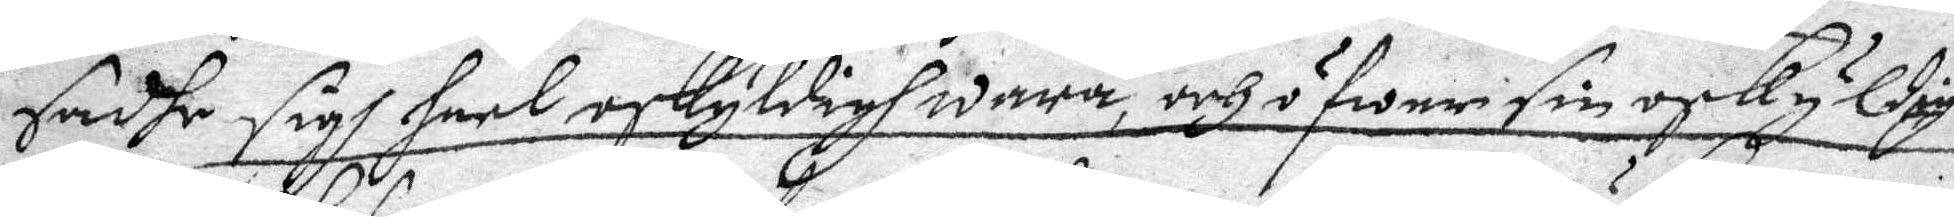sadhe sigh heel oskyldigh wara, och öfwer sin oskyldig-
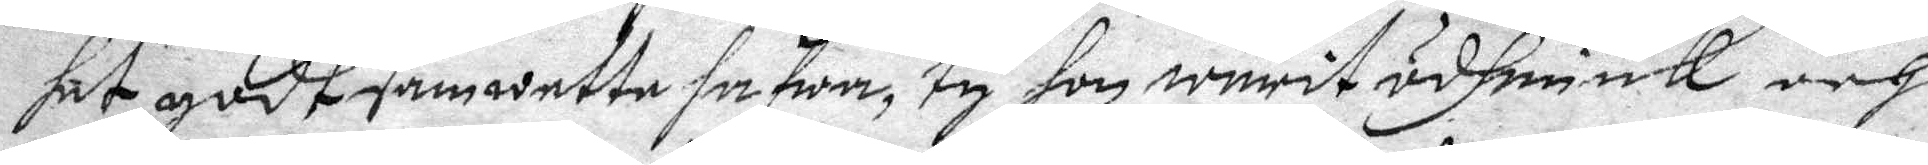het godt samwette hafwa, ty hon warit ödmiuk och
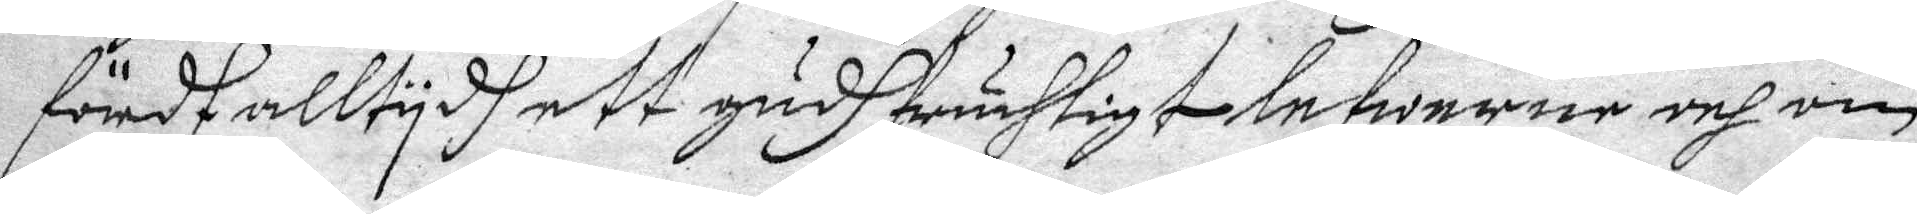fördt alltydh ett gudhfruchtigt lefwerne och om
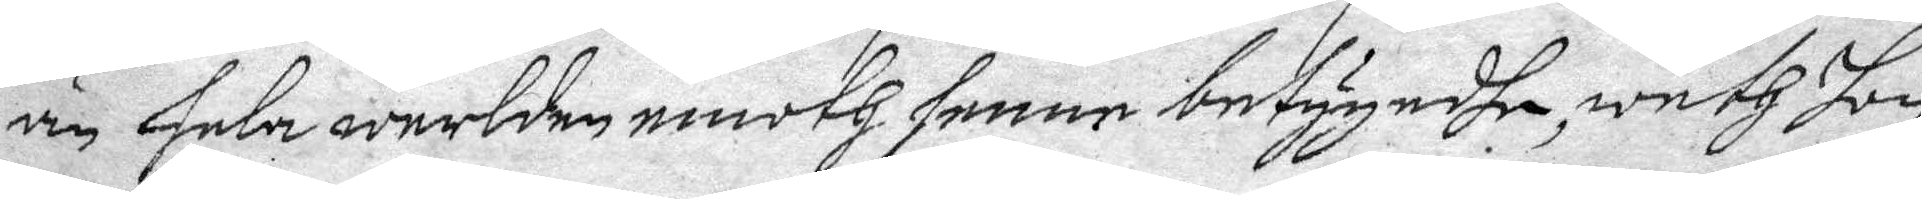än hela werlden emoth henne betygadhe, weth hon
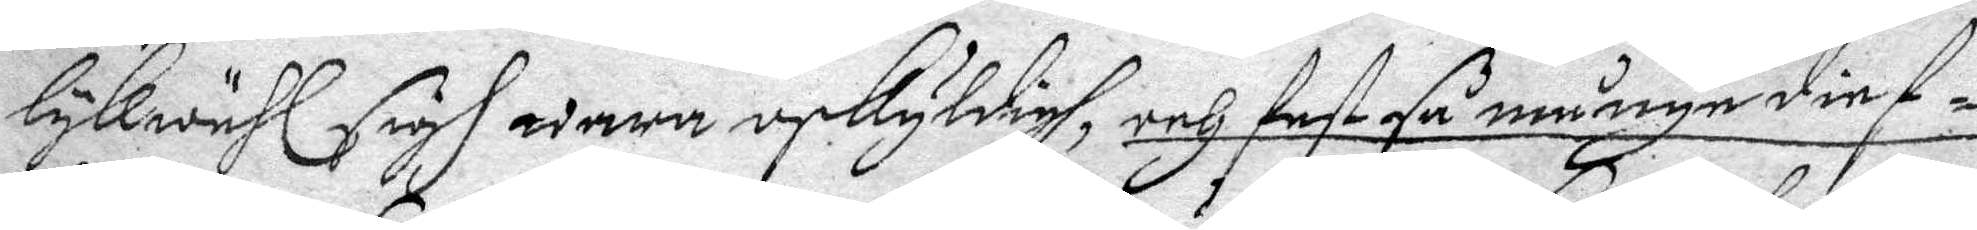lykwähl sigh wara oskyldigh, och fast så månge dieg¬
